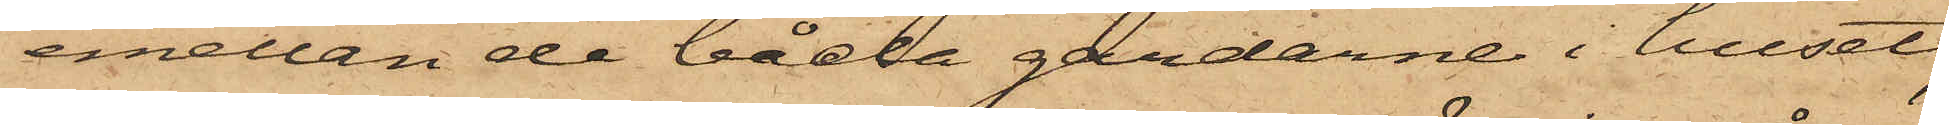emellan de båda gårdarne i huset,
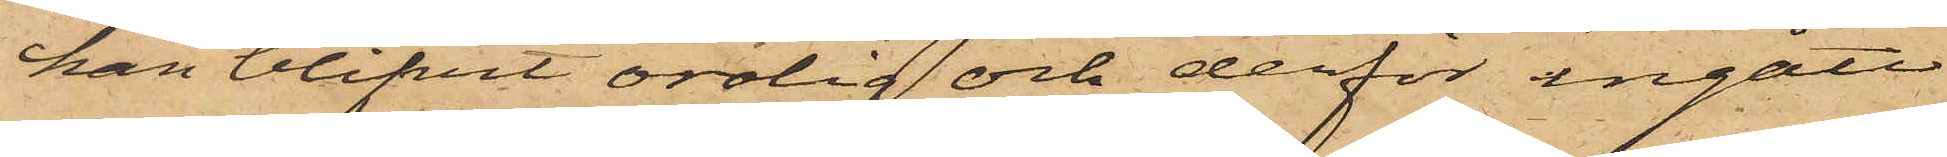han blifvit orolig och derför ingått
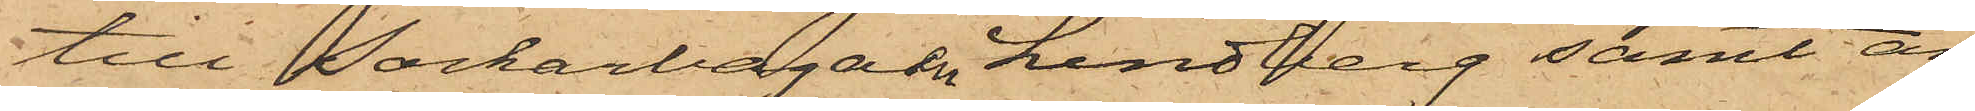till Sockerbagaren Lindberg samt an¬
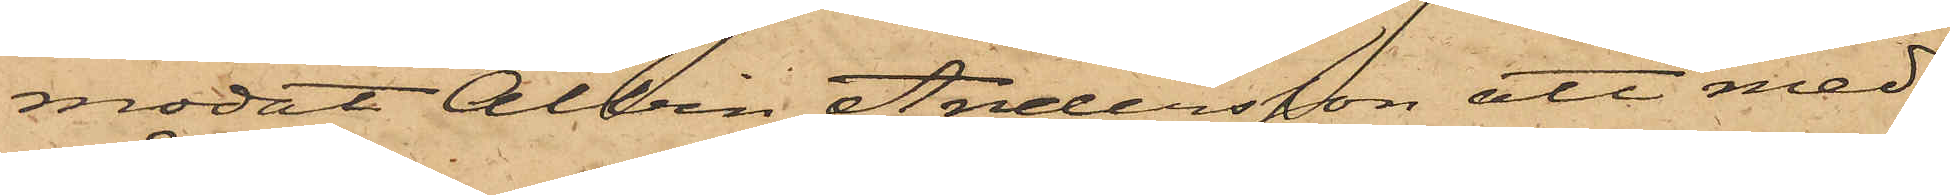modat Albin Andersson att med¬
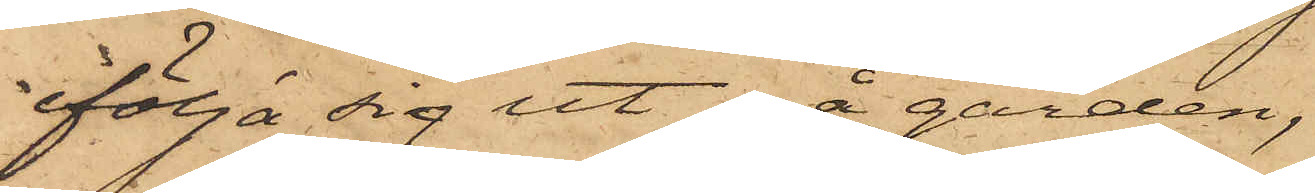följa sig ut å gården,
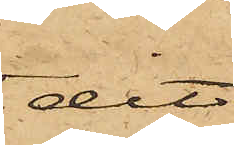dit
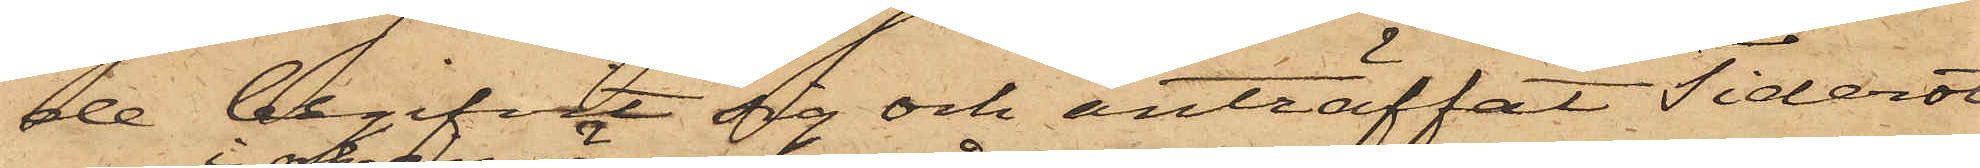de begifvit sig och anträffat Tiderot
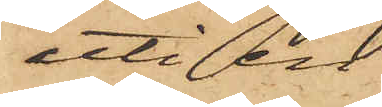uti en
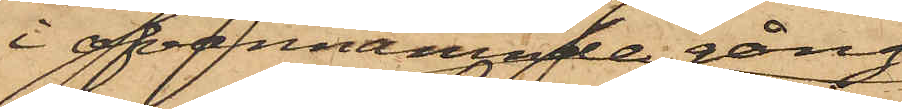i ofvannämnde gång
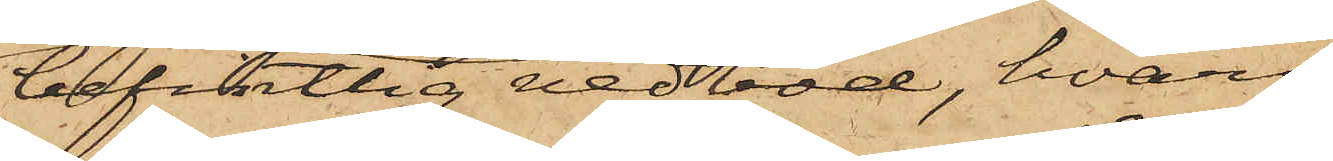befintlig vedbod, hvars
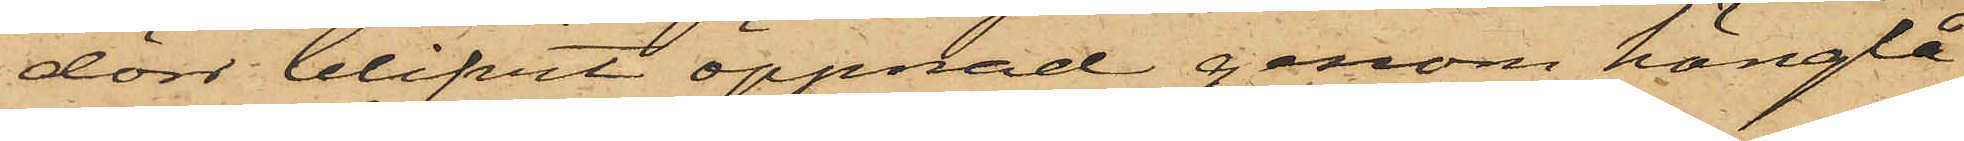dörr blifvit öppnad genom hänglå¬
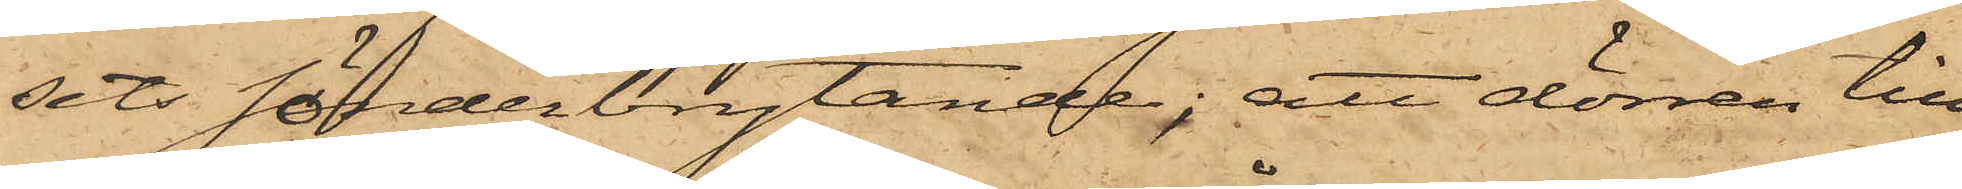sets sönderbrytande; att dörren till
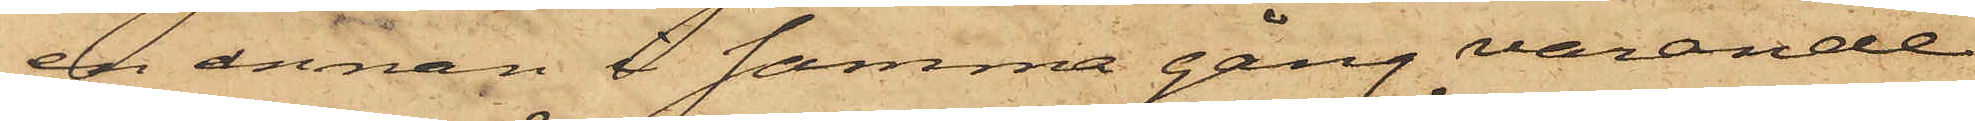en annan i samma gång varande
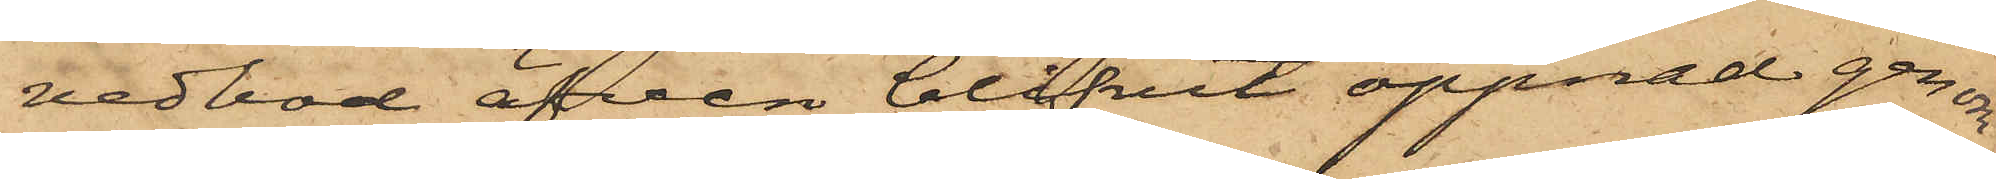vedbod äfven blifvit öppnad genom
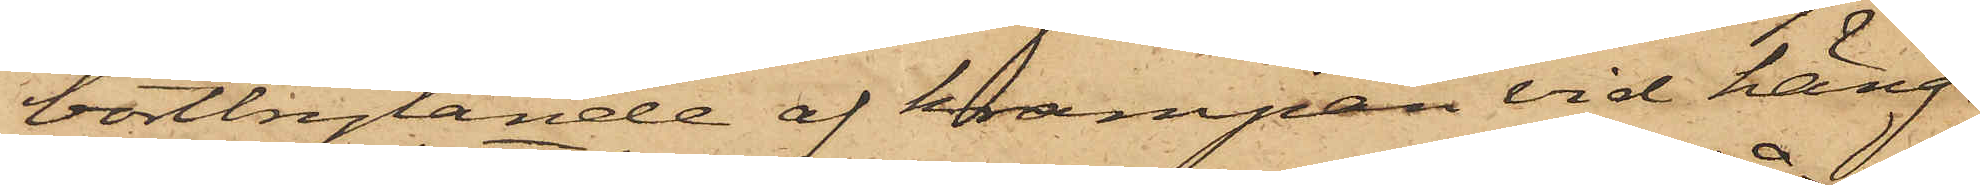bortbrytande af krampan vid häng¬
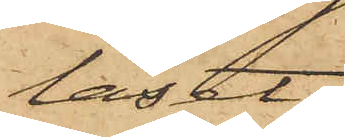låset;
